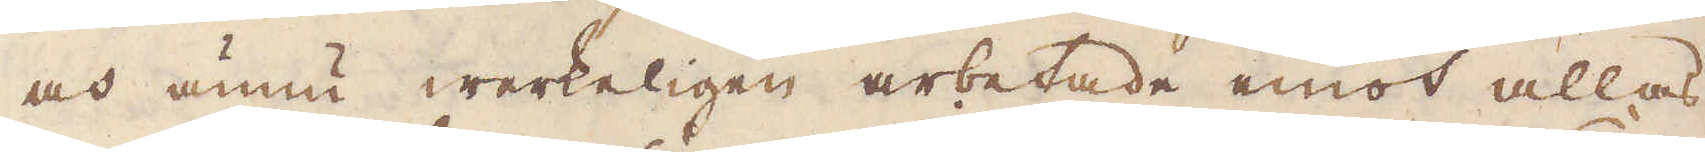och ännu werkeligen arbetade emot allas
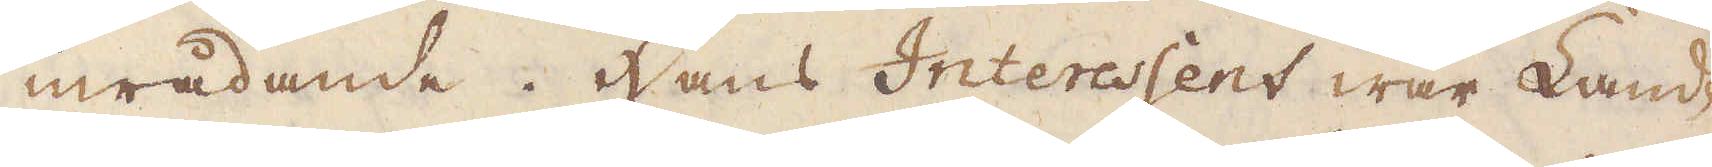inrådande. Hans Interessent war Land-
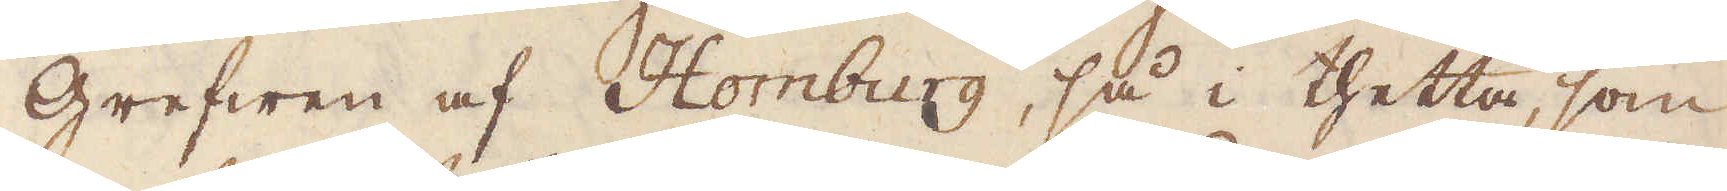grefwen af Homburg, så i thetta, som
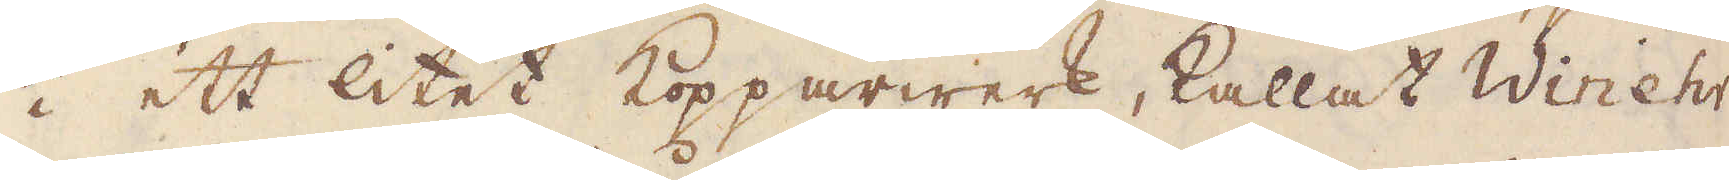i ett litet Kopparwerk, kallat Winehr
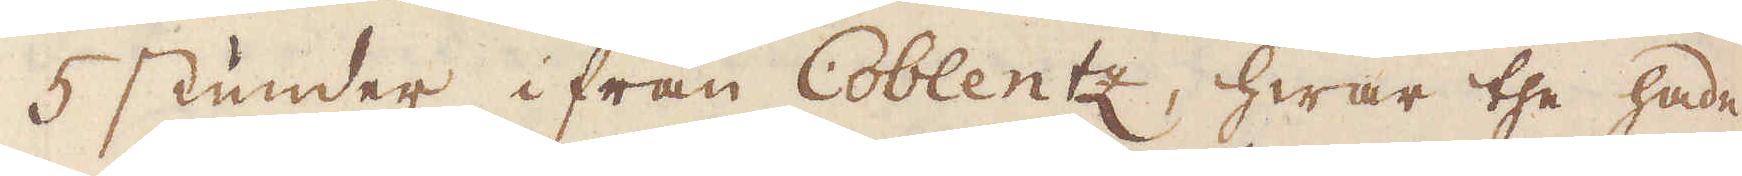5 stunder ifrån Coblentz, hwar the hade
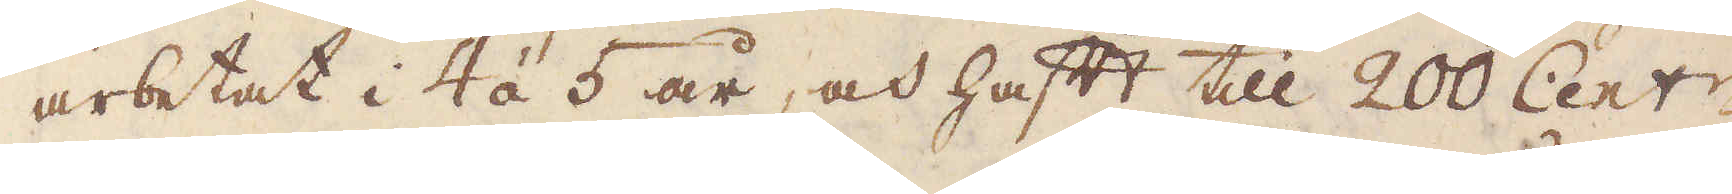arbetat i 4 á 5 år, och haft till 200 Cent:r
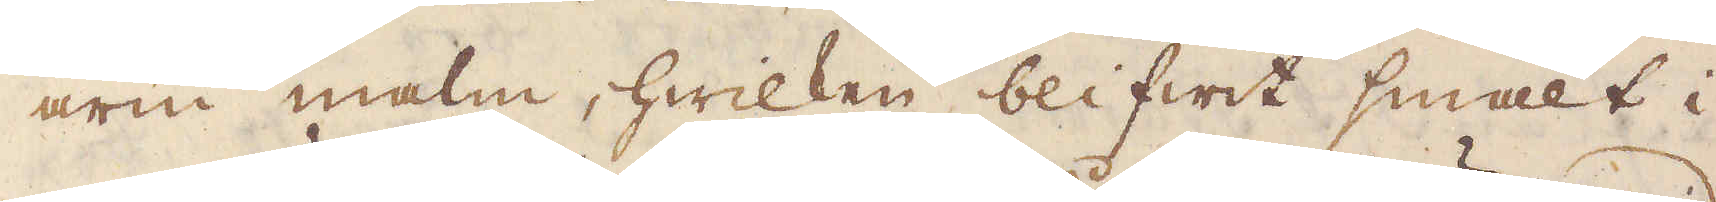arm malm, hwilken blifwit smält i
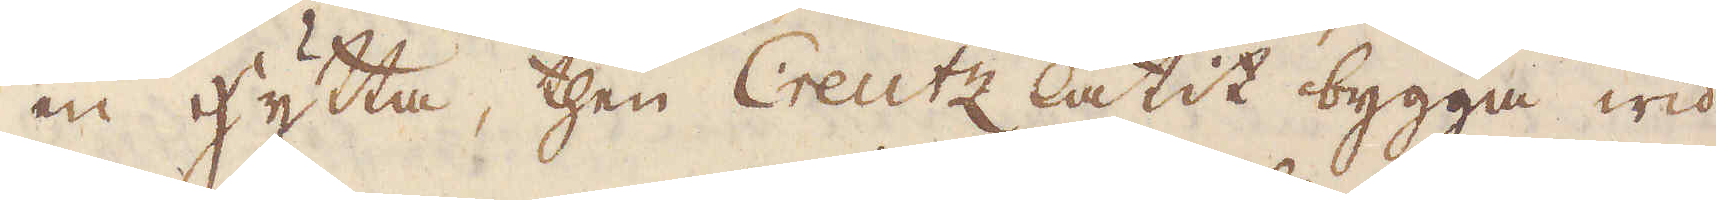en hytta, then Creutz låtit bygga wid
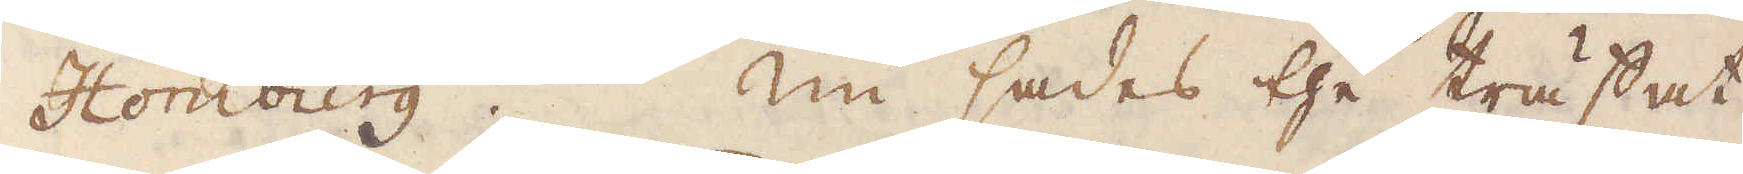Homburg. Nu sades the träffat
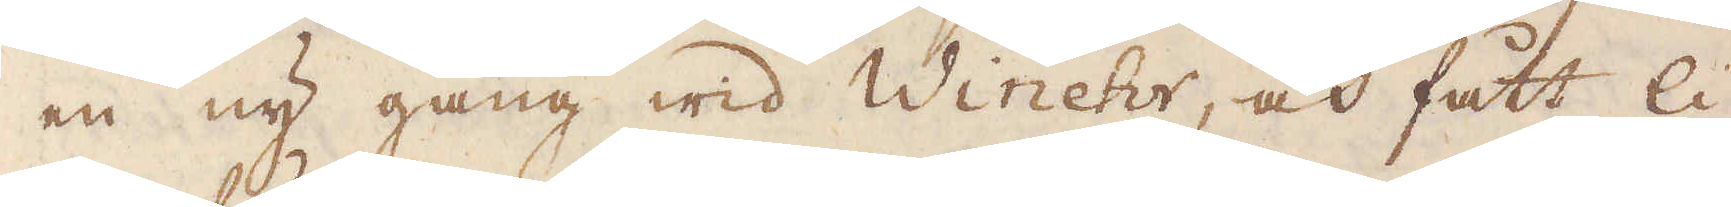en ny gång wid Winehr, och fått li-
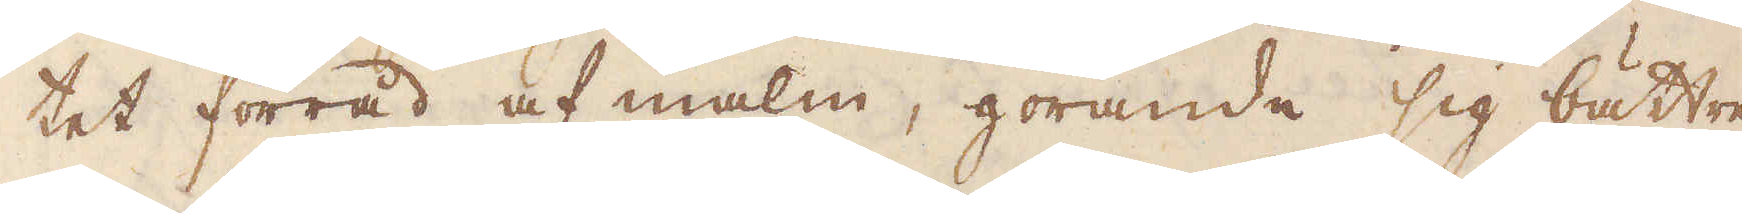tet förråd af malm, görande sig bättre
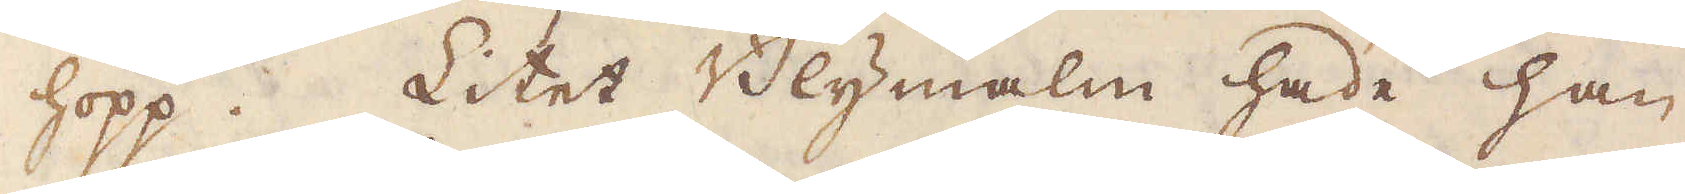hopp. Litet Blymalm hade han
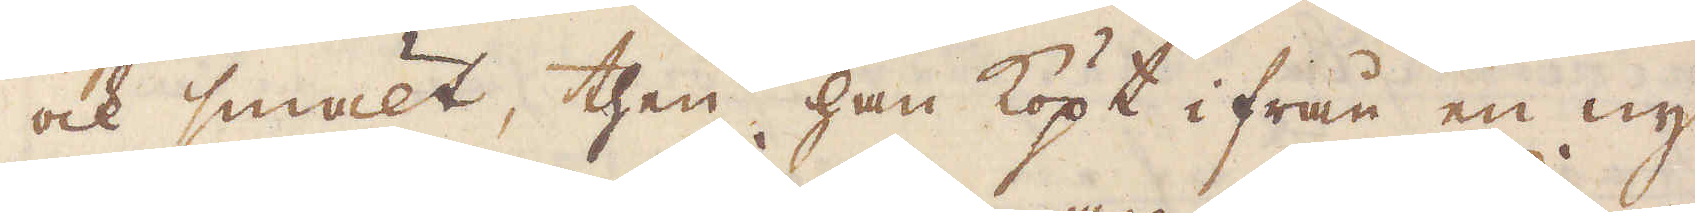ock smält, then han köpt ifrån en ny
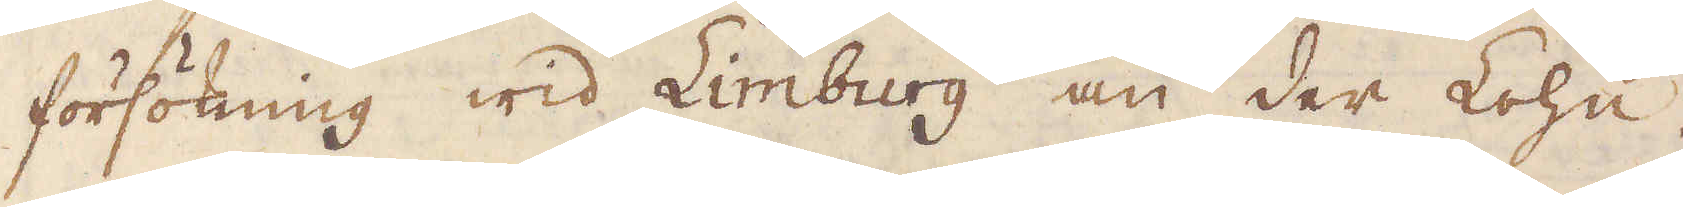försökning wid Limburg an der Lohn.
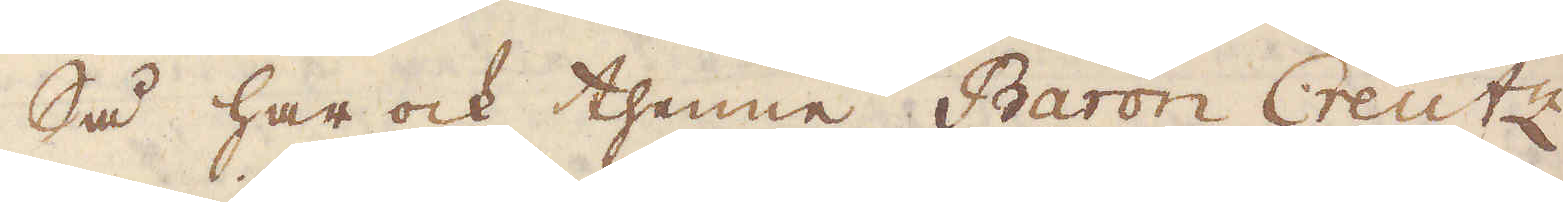Så har ock thenne Baron Creutz
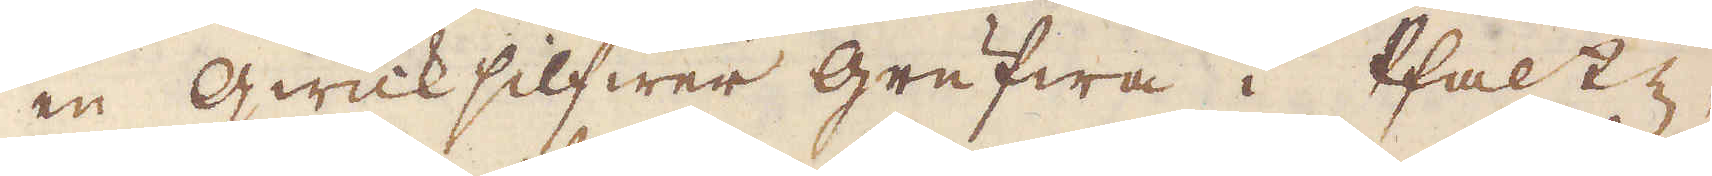en qwicksilfwer grufwa i Pfaltz,
